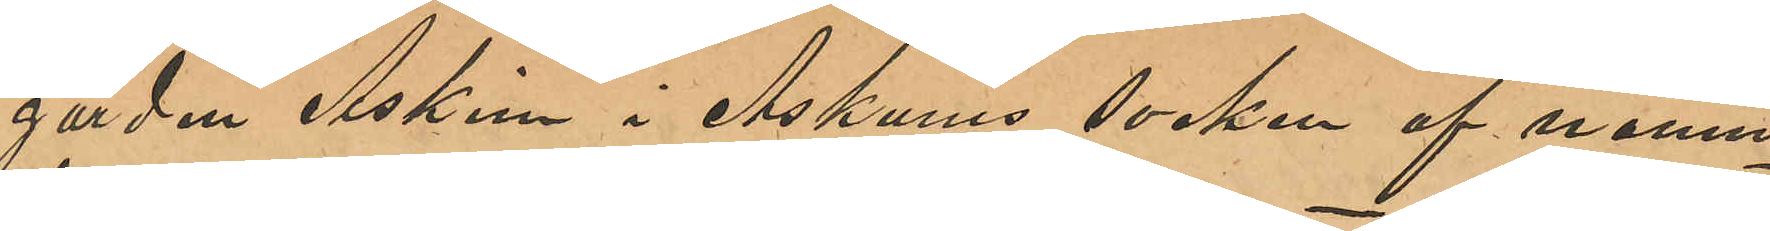gården Askim i Askums socken af nämn¬
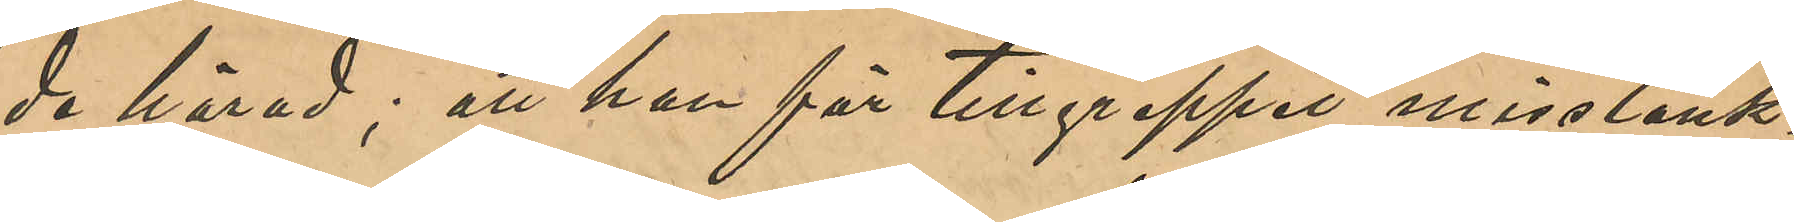de härad; att han för tillgreppet misstänk¬
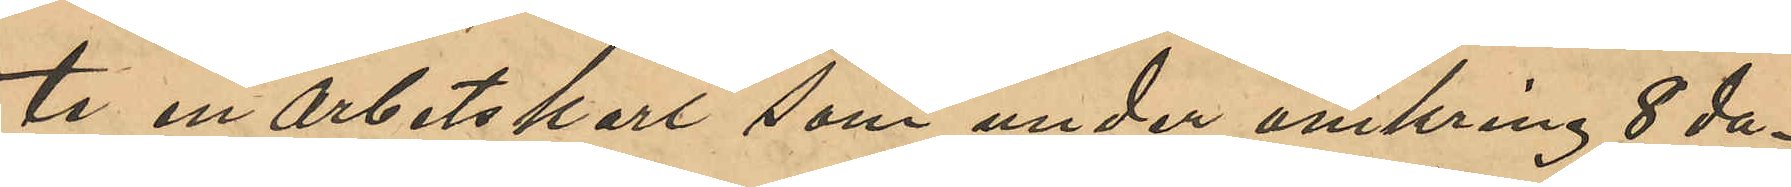te en arbetskarl som under omkring 8 da¬
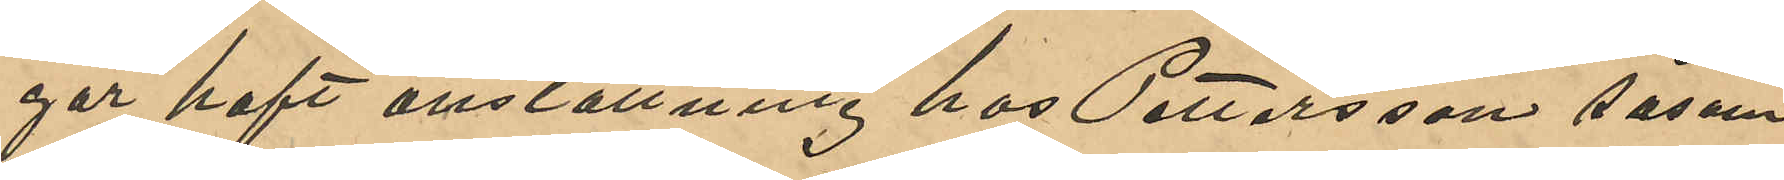gar haft anställning hos Pettersson såsom
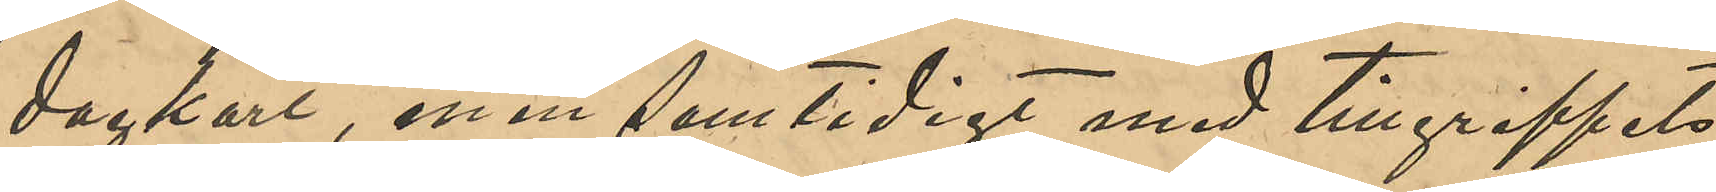dagkarl; men samtidigt med tillgreppets
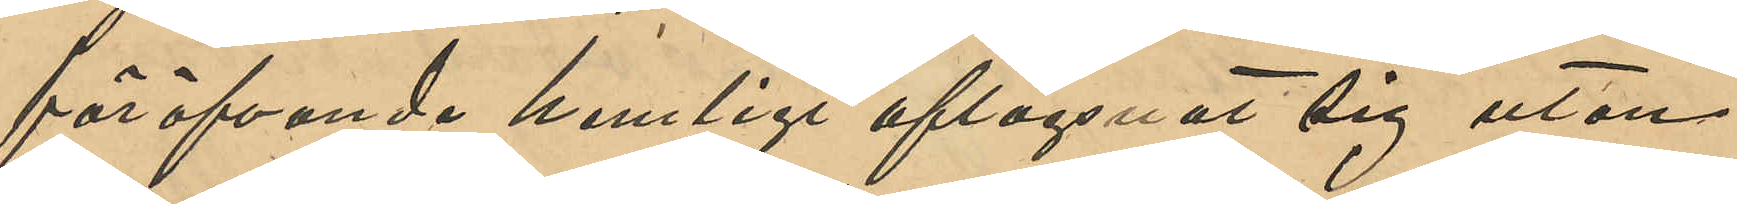föröfvande hemligt aflägsnat sig utan
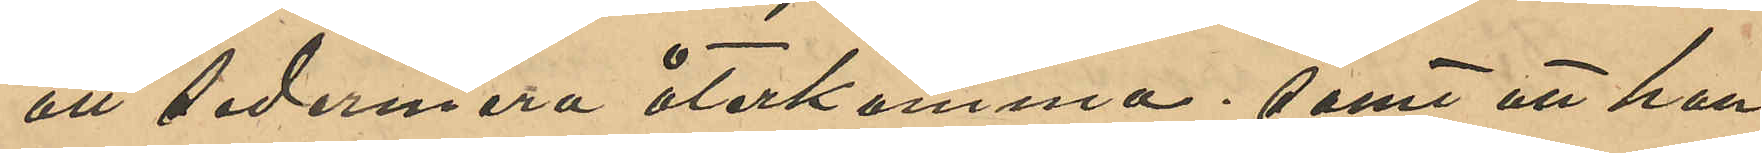att sedermera återkomma; samt att han
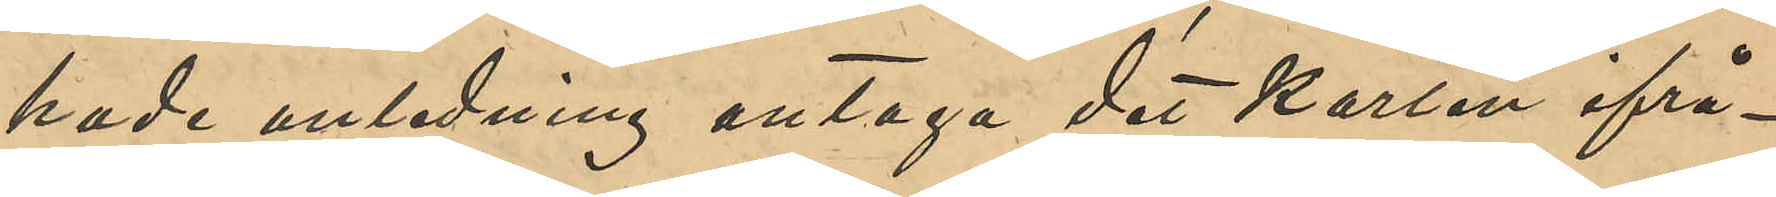hade anledning antaga det karlen ifrå¬
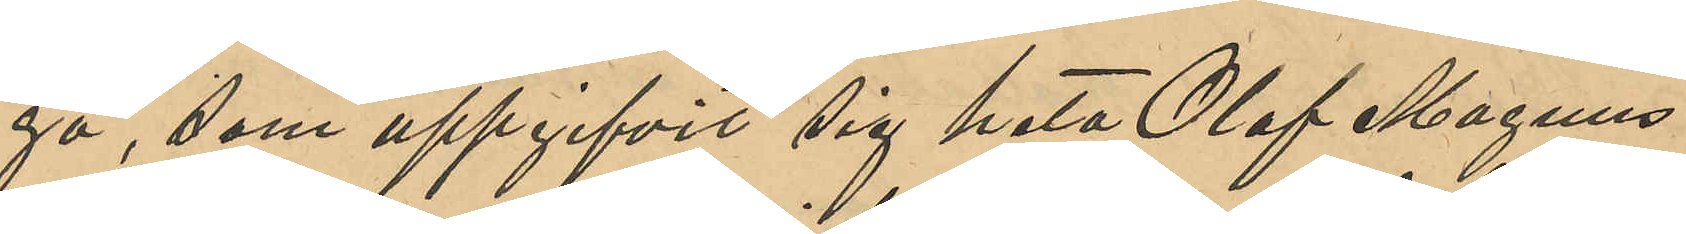ga, som uppgifvit sig heta Olof Magnus
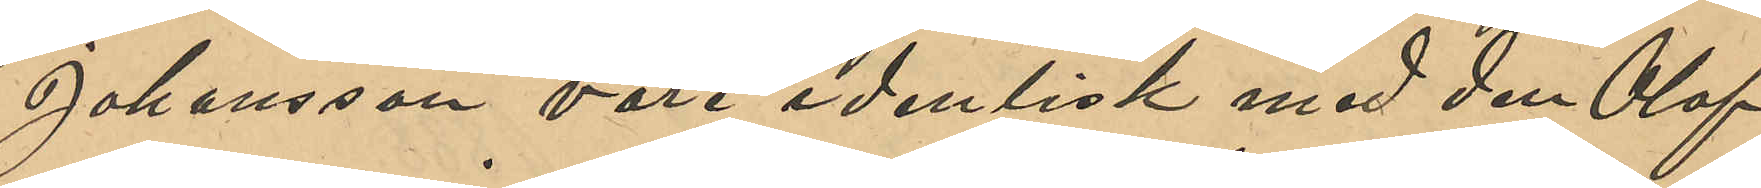Johansson vore identisk med den Olof
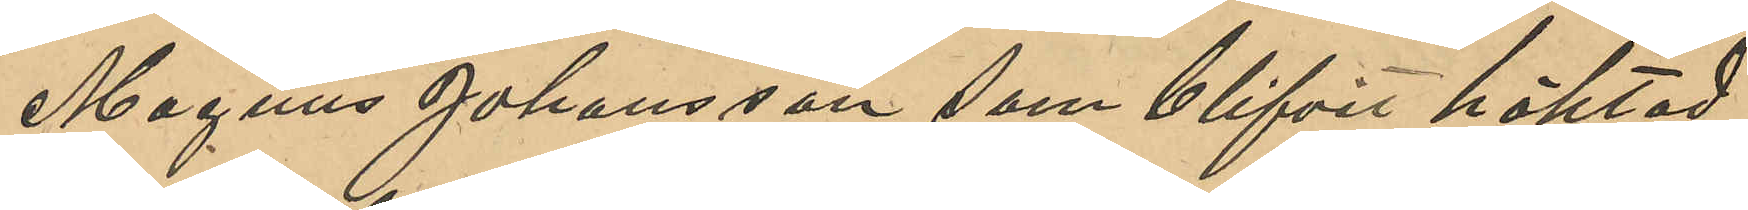Magnus Johansson som blifvit häktad
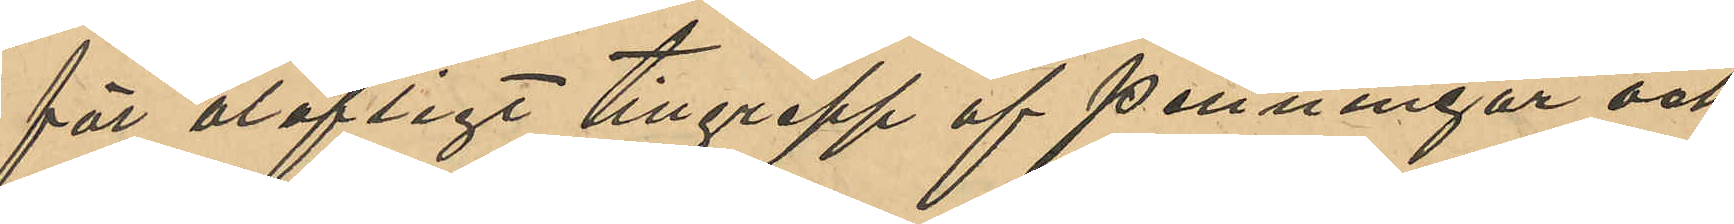för olofligt tillgrepp af penningar och
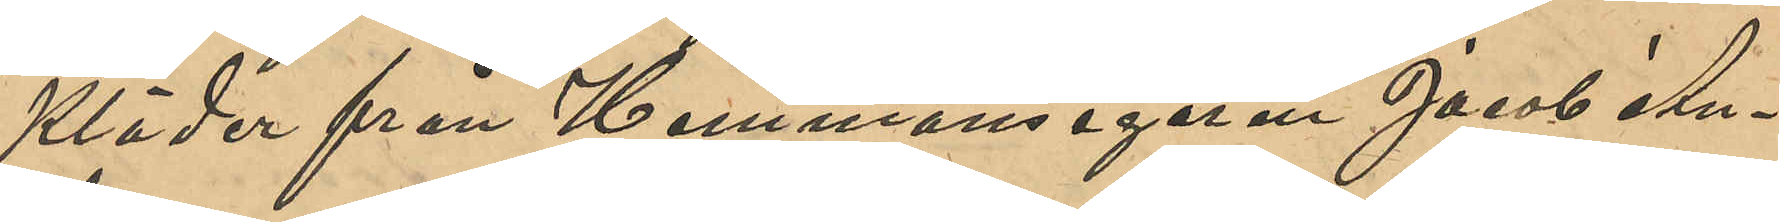Kläder från Hemmansegaren Jakob An¬
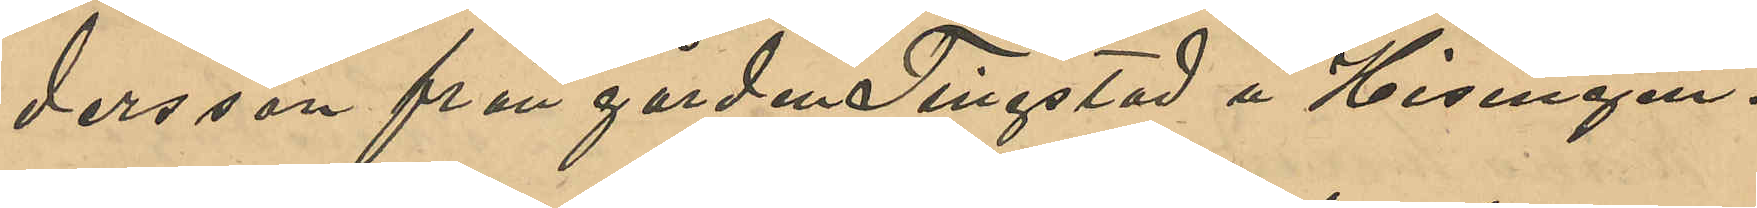dersson från gården Tingstad å Hisingen.
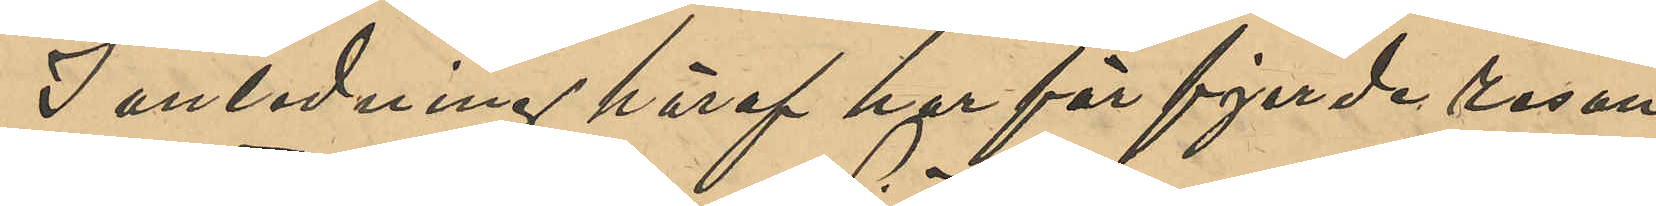I anledning häraf för fjerde resan
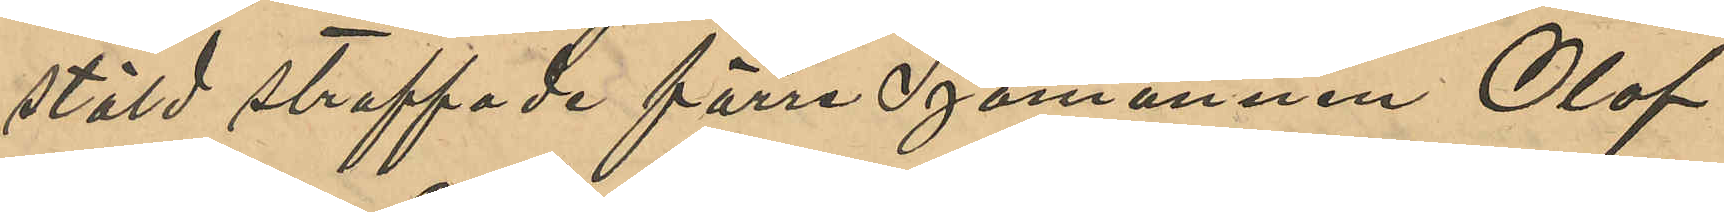stöld straffade förre Sjömannen Olof
